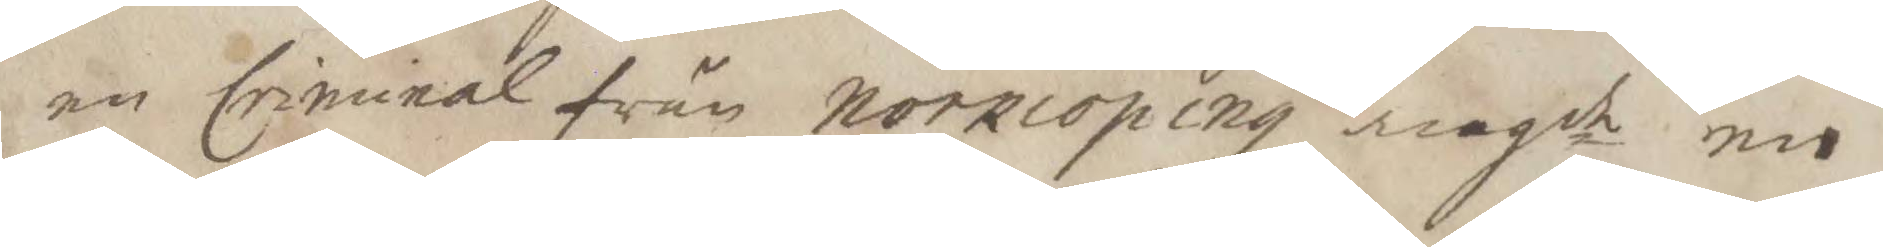en Criminal från norkiöping angde en
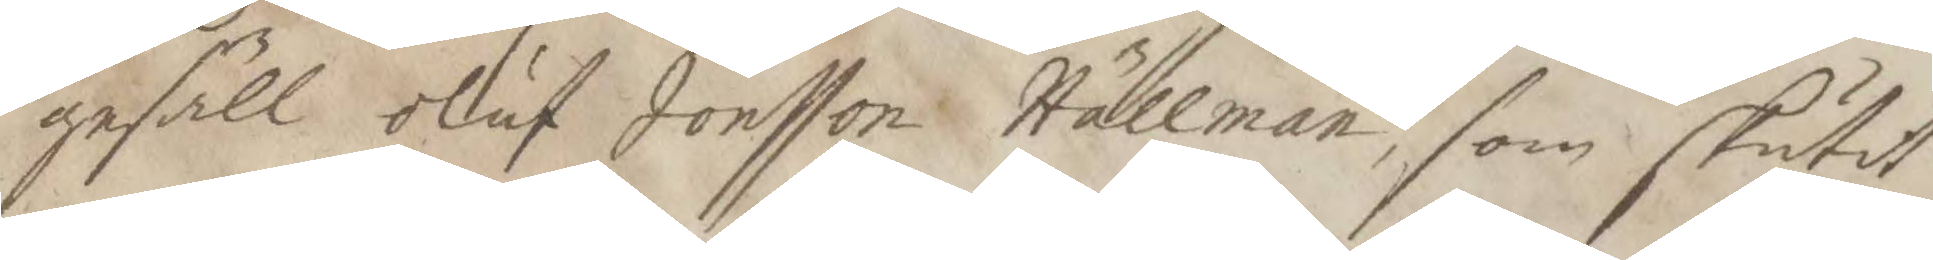gesäll oluf Jonsson Hällman, som skutit
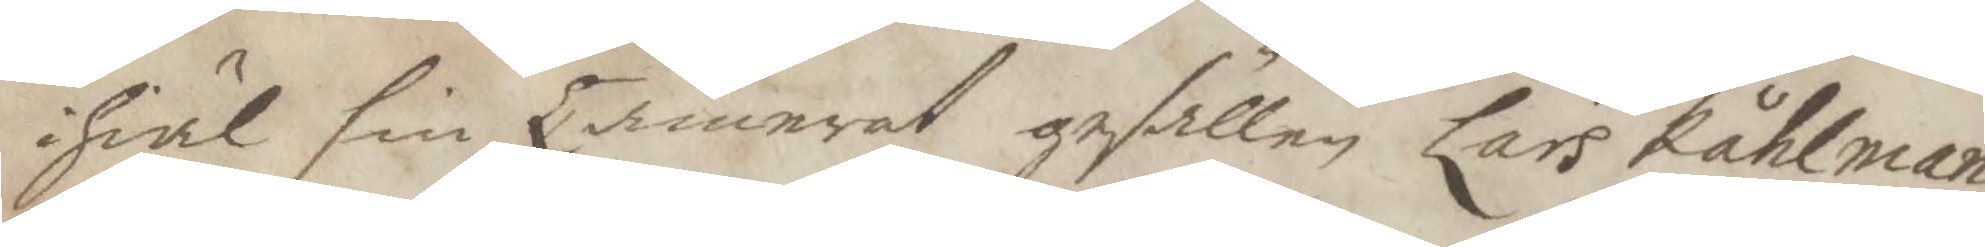ihiäl sin Camerat gesällen Lars Kåhlman
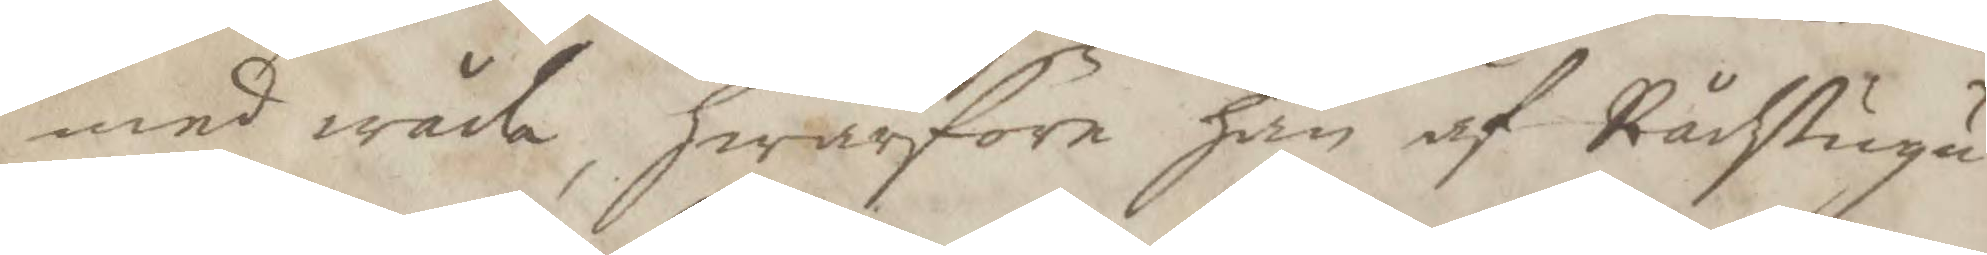med wåda, hwarföre han af Rådstugu
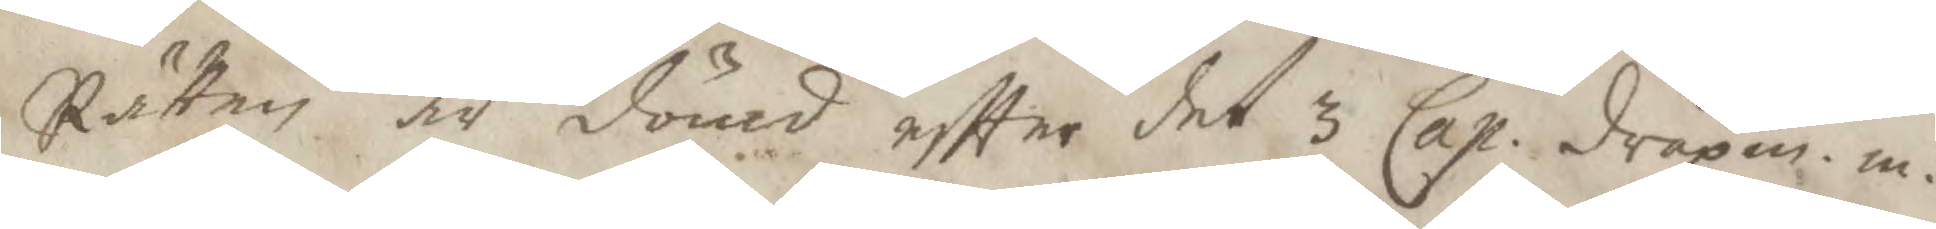Rätten är dömd eftter det 3 Cap. dråpm.m.
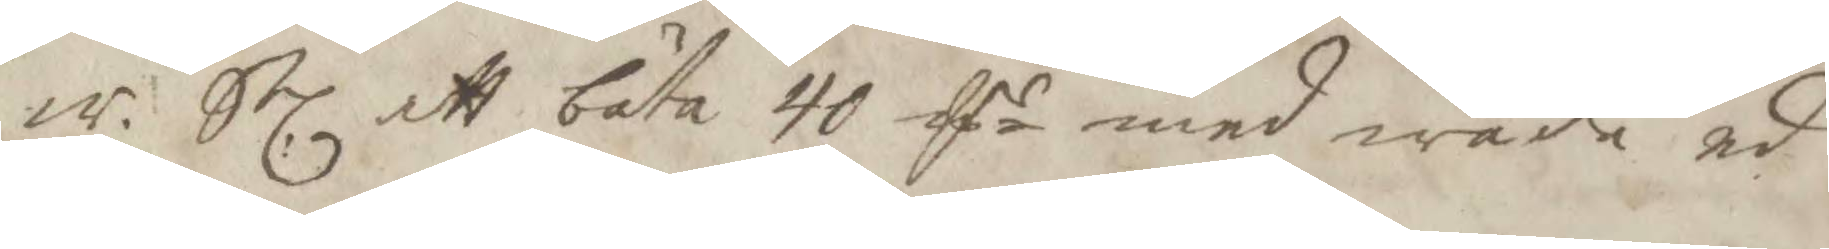a. Sl. att böta 40 Edr med wåda ed.
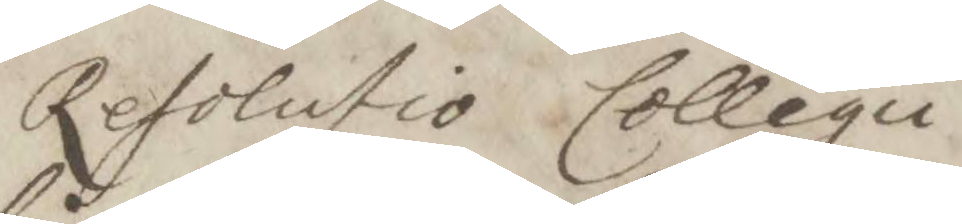Resolutio Collegii
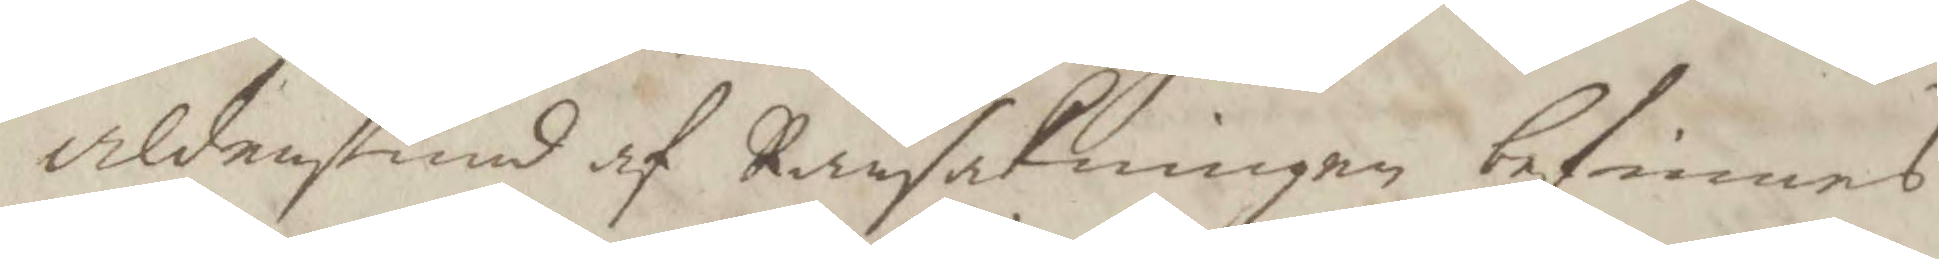aldenstund af Ransakningen befinnes
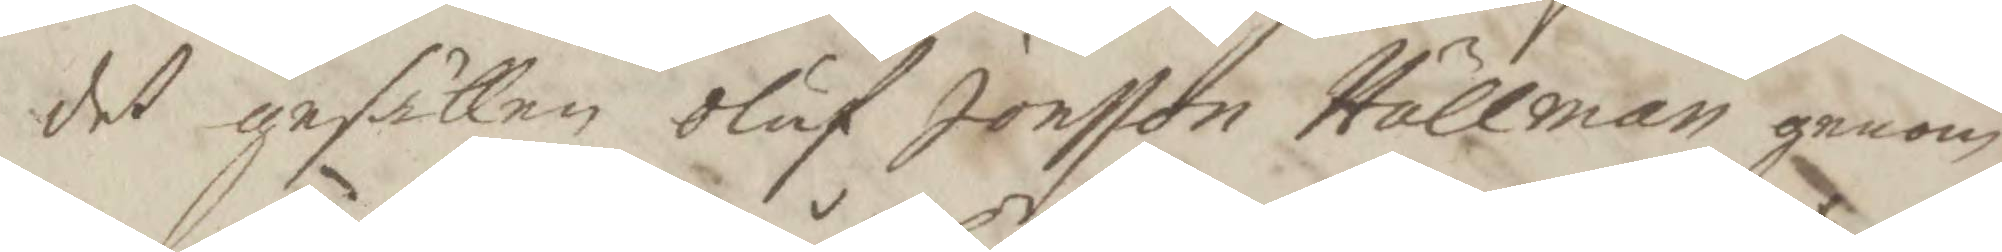det gesällen Oluf Jonsson Hällman genom
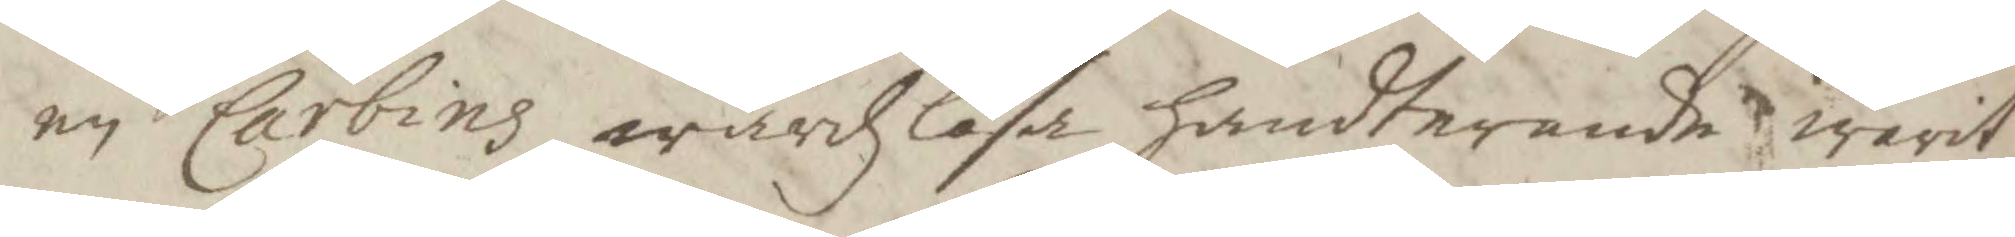en Carbins wårdzlösa handternade warit
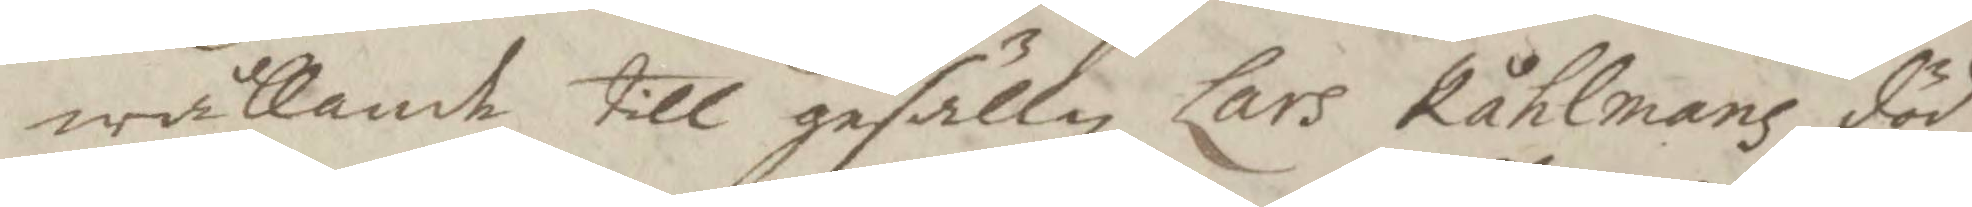wållande till gesällen Lars Kåhlmans död
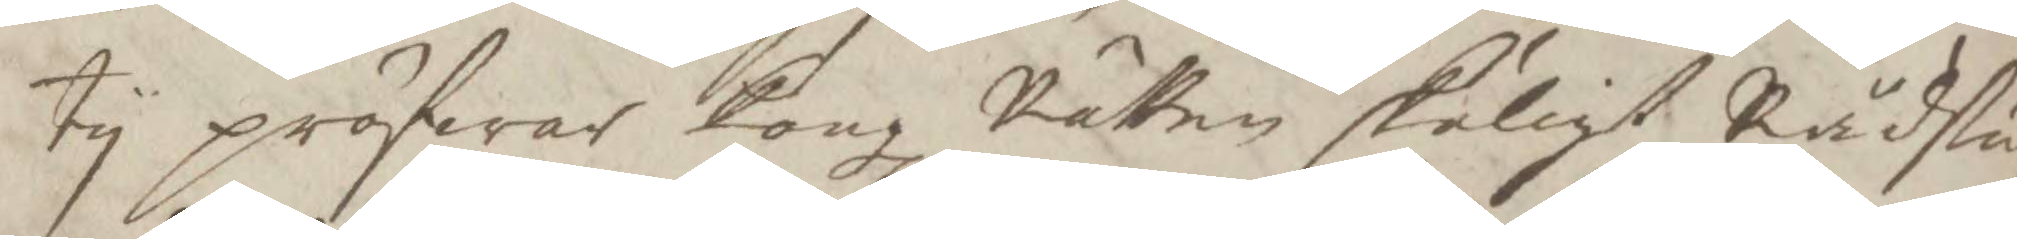ty pröfwar Kongl Rätten skäligt Rådstu¬
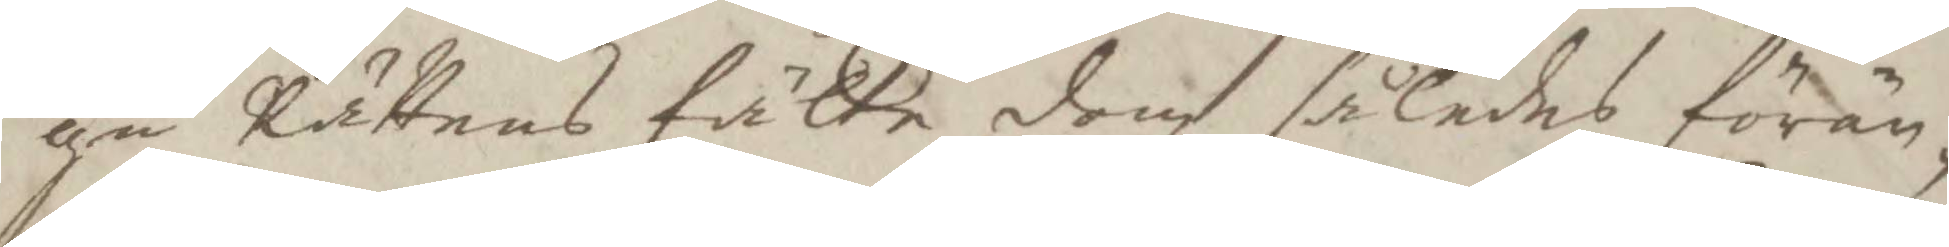gu Rättens fälte dom således förän¬
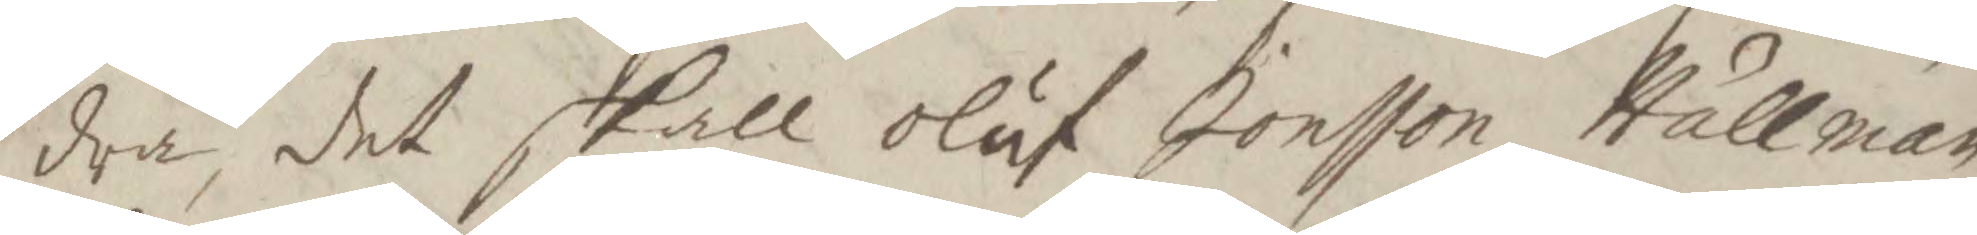dra det skall Oluf Jonsson Hällman
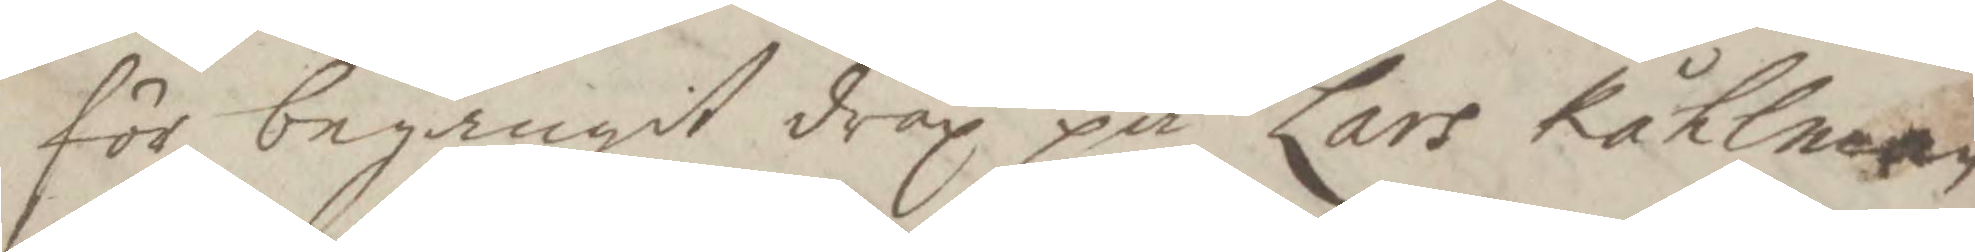för begångit dråp på Lars Kåhlman
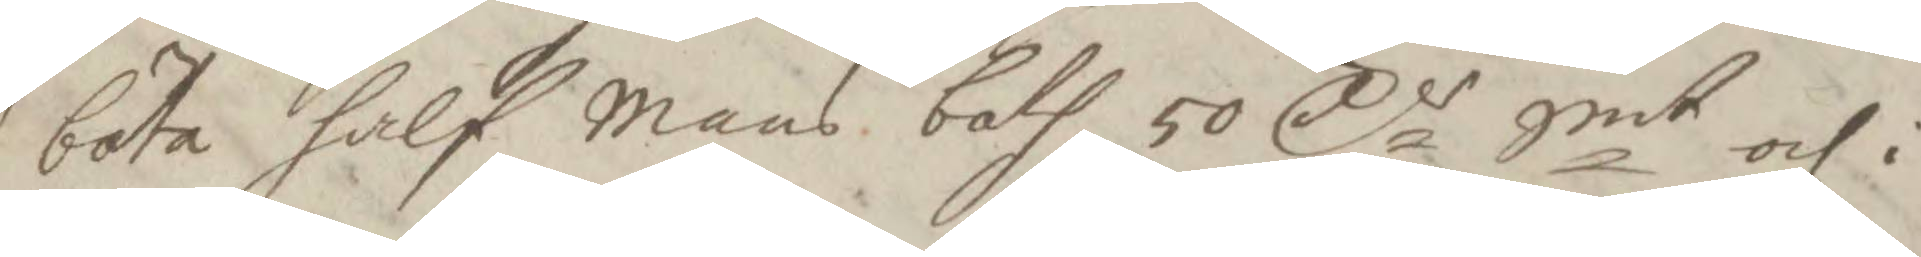böta half Mans both 50 Cr Smt och i
